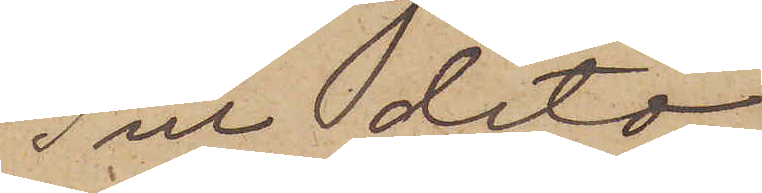Till dito
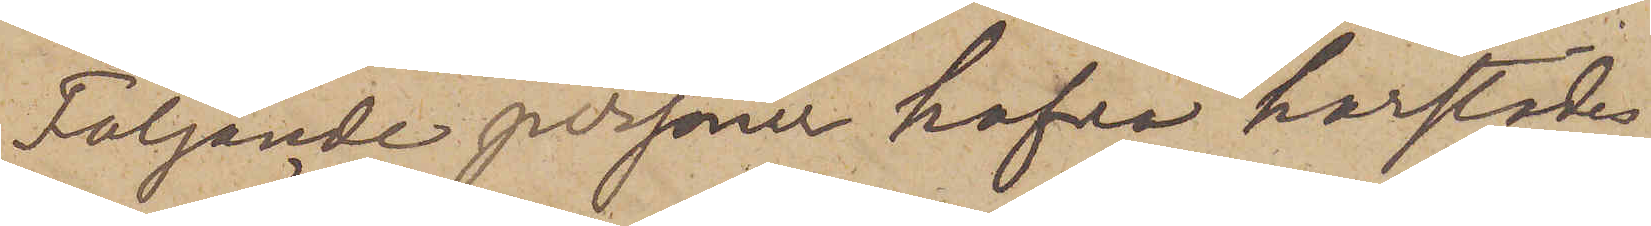Följande personer hafva härstädes
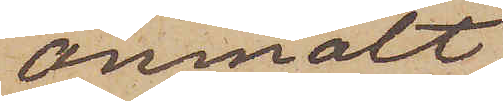anmält,
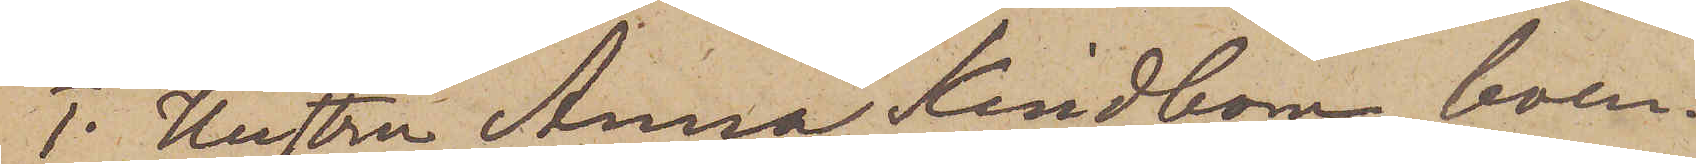1. Hustru Anna Kindbom, boen¬
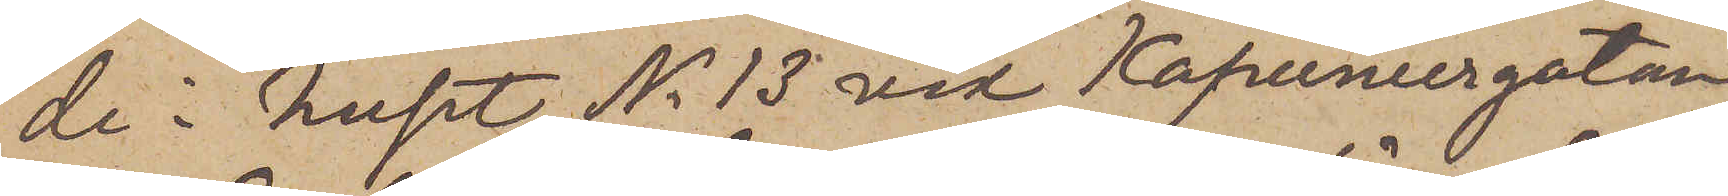de i huset No 13 vid Kapuniergatan,
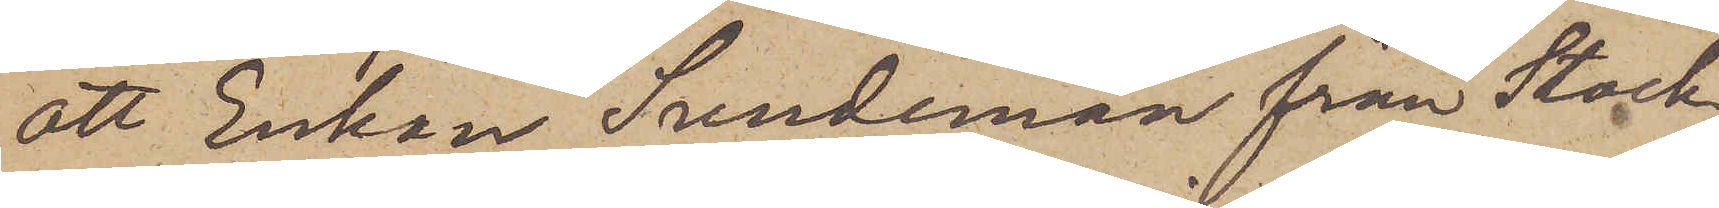att Enkan Sundeman från Stock¬
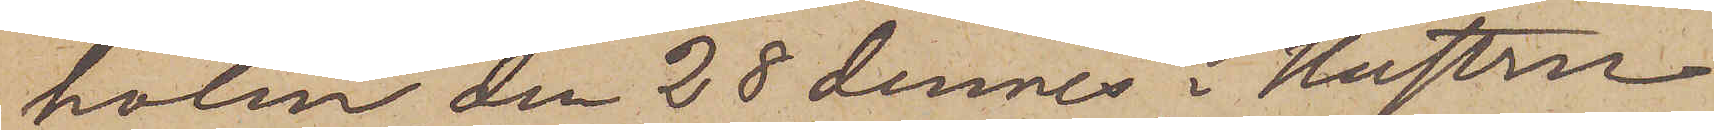holm den 28 dennes i Hustru
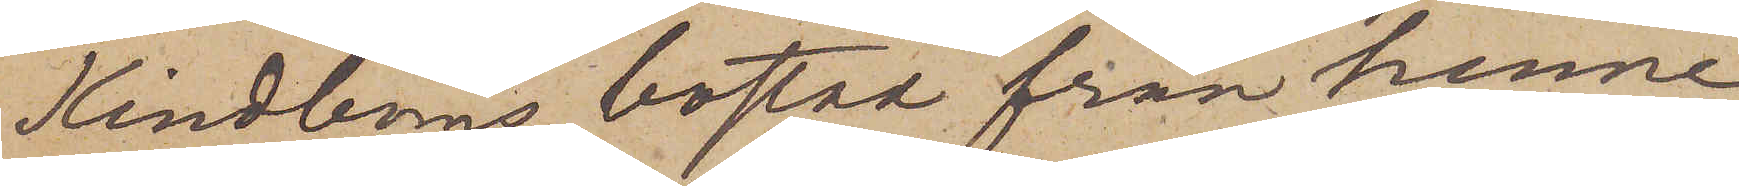Kindboms bostad från henne
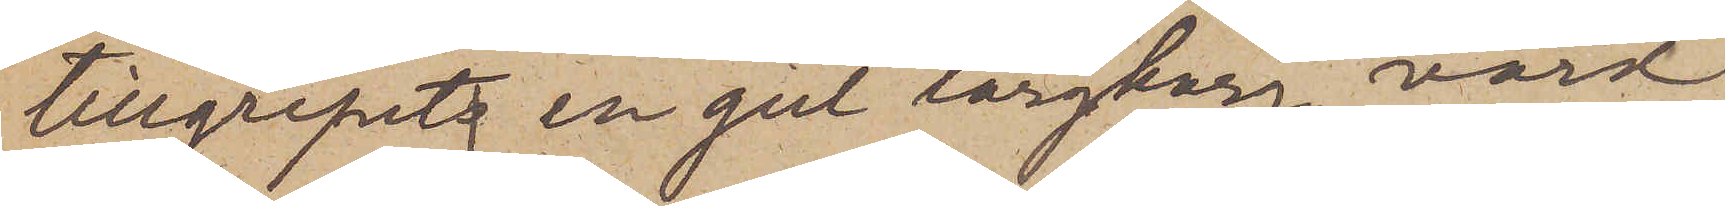tillgripits en gul torgkorg, värd
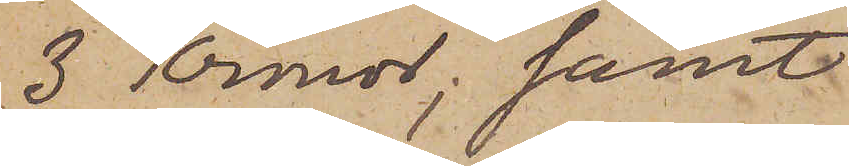3 Kronor; samt
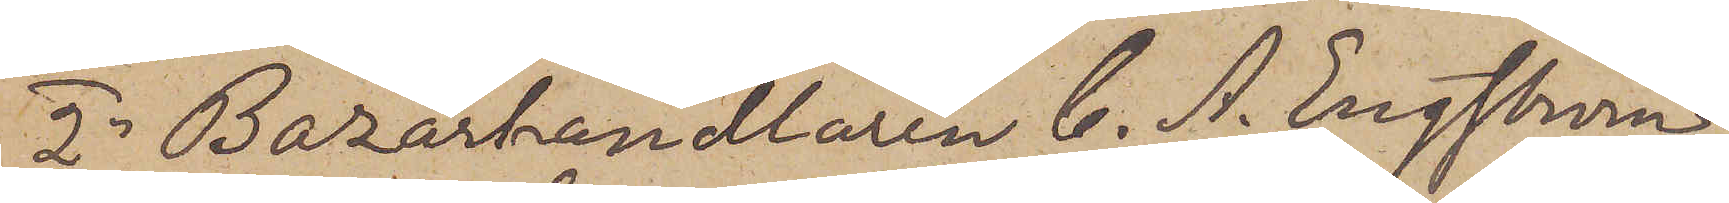2o Bazarhandlaren C. A. Engström,
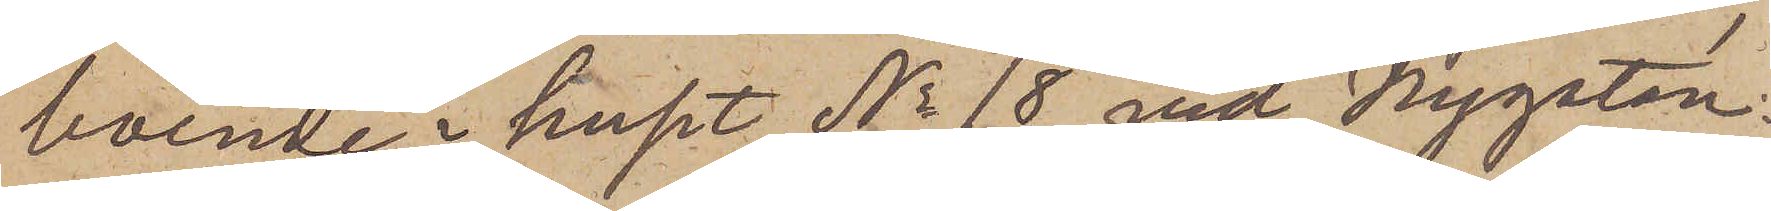boende i huset No 18 vid Nygatan,
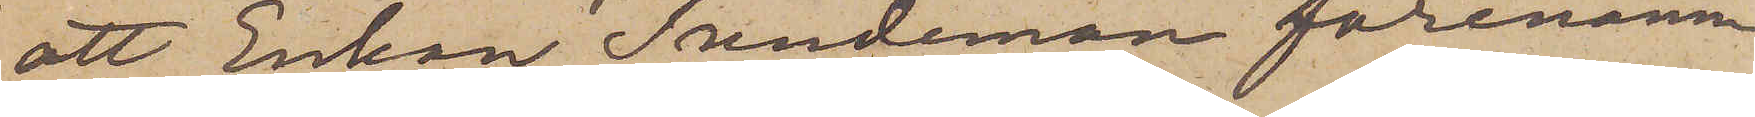att Enkan Sundeman förenämn¬
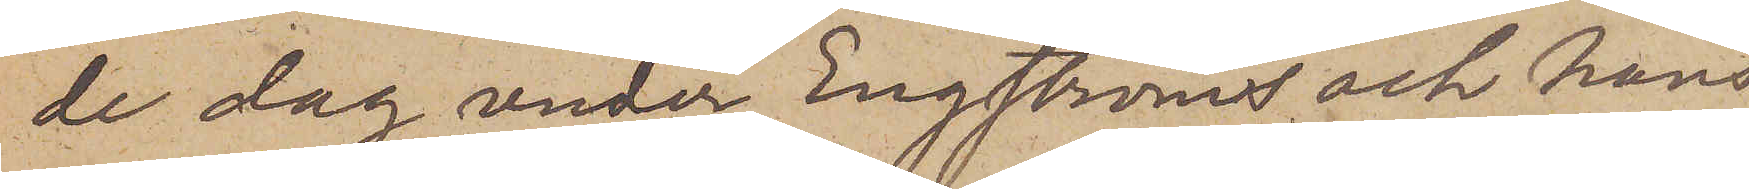de dag under Engströms och hans
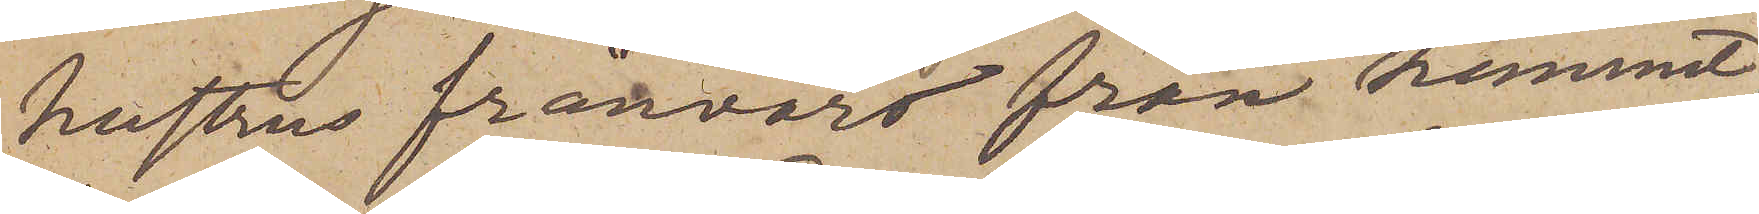hustrus frånvaro från hemmet,
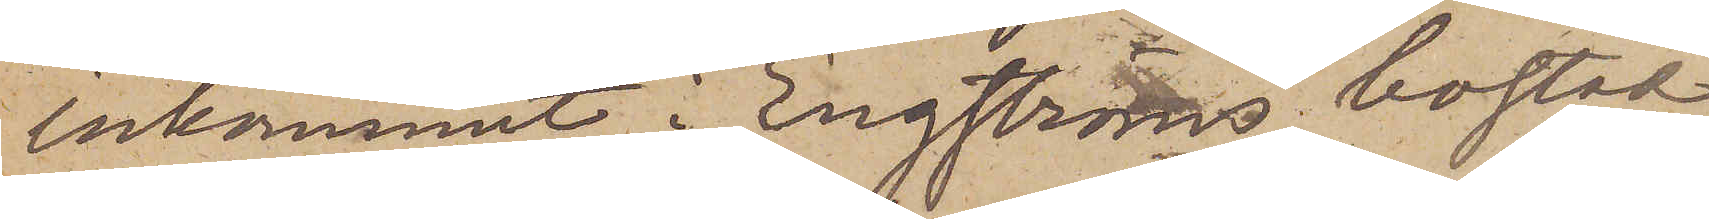inkommit i Engströms bostad
